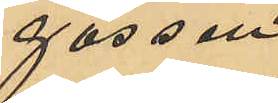gossen
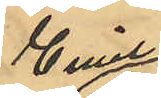Emil
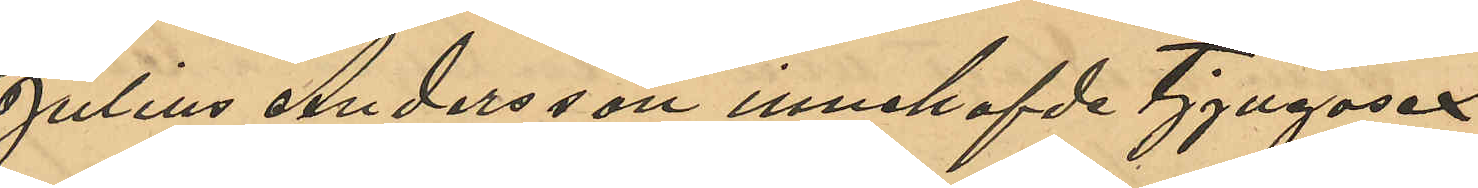Julius Andersson innehafde Tjugosex
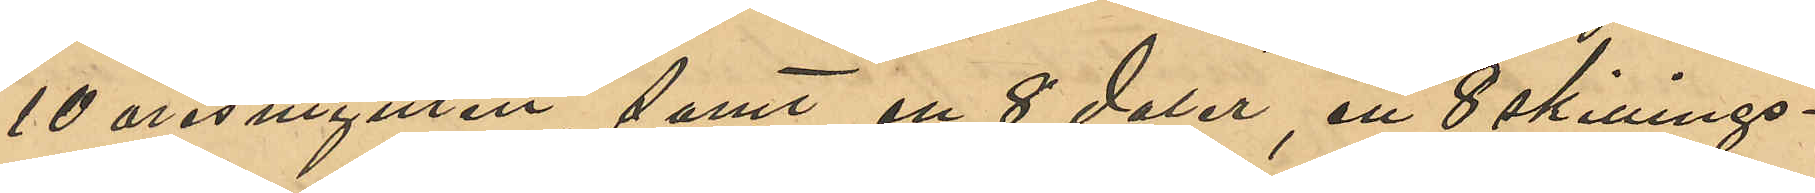10 öresmynten, samt en 8 daler, ett 8 skillings¬
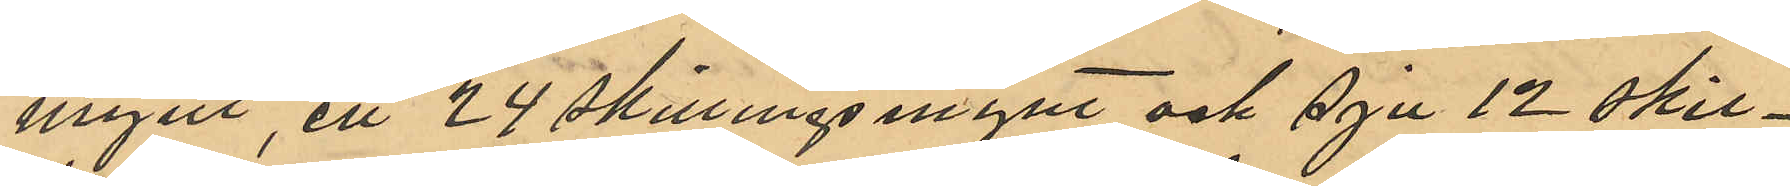mynt, ett 24 skillingsmynt och sju 12 skil¬
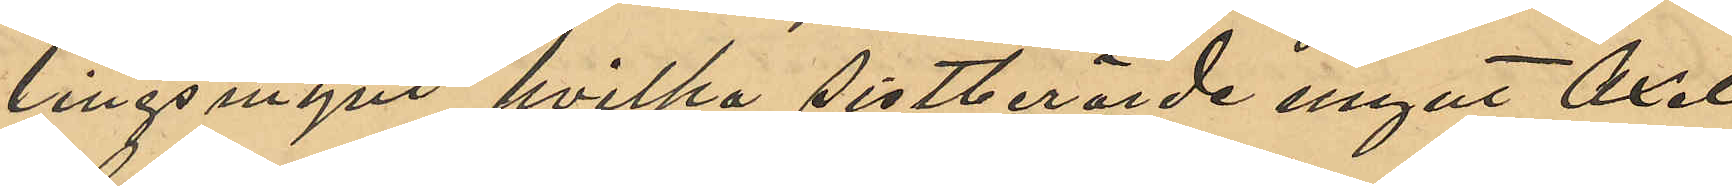lingsmynt, hvilka sistberörde mynt Axel
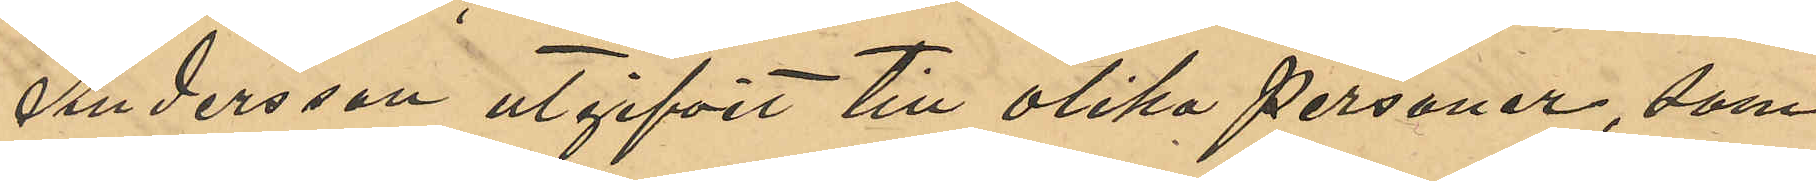Andersson utgifvit till olika personer, som
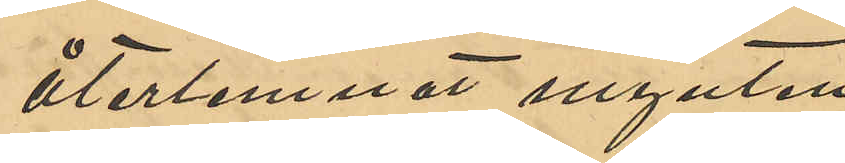återlemnat mynten.
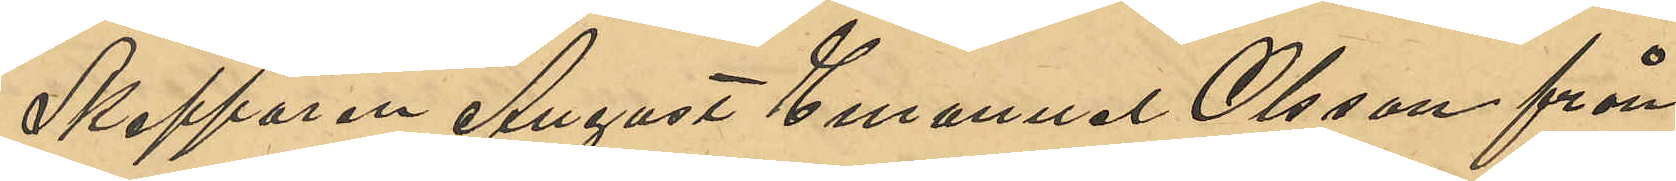Skepparen August Emanuel Olsson från
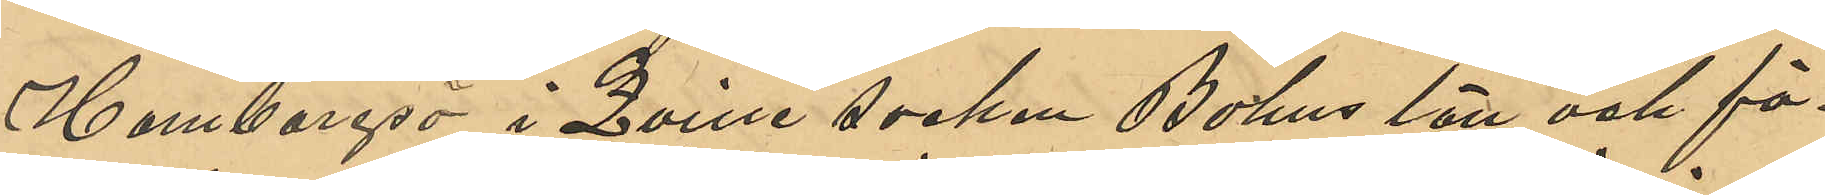Hamburgsö i Qville socken Bohus län och för¬
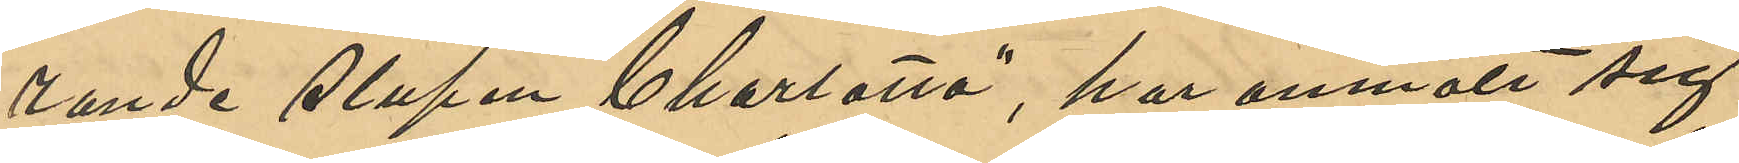rande slupen "Charlotta", har anmält sig
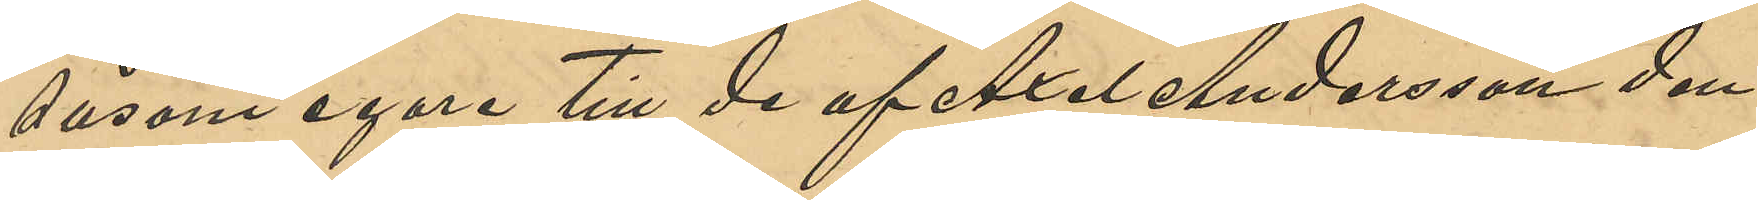såsom egare till de af Axel Andersson den
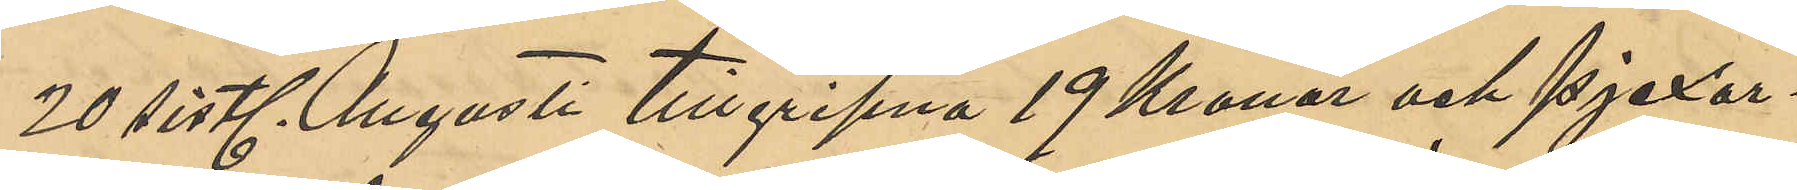20 sistl. Augusti tillgripna 19 Kronor och pjexor¬
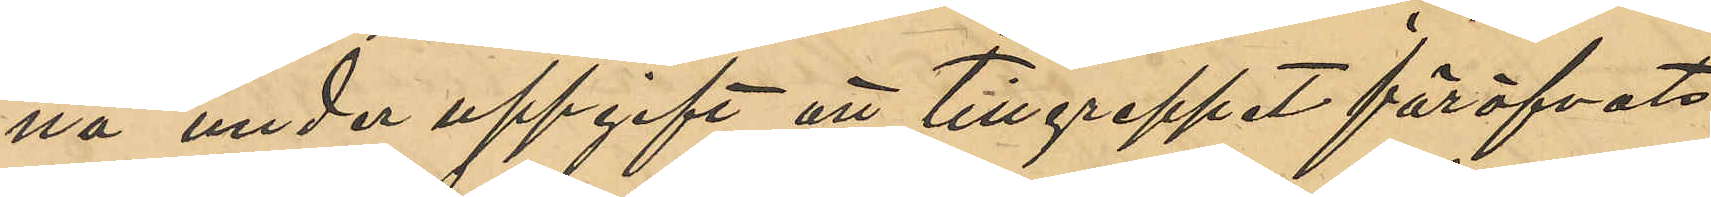na under uppgift att tillgreppet föröfvats
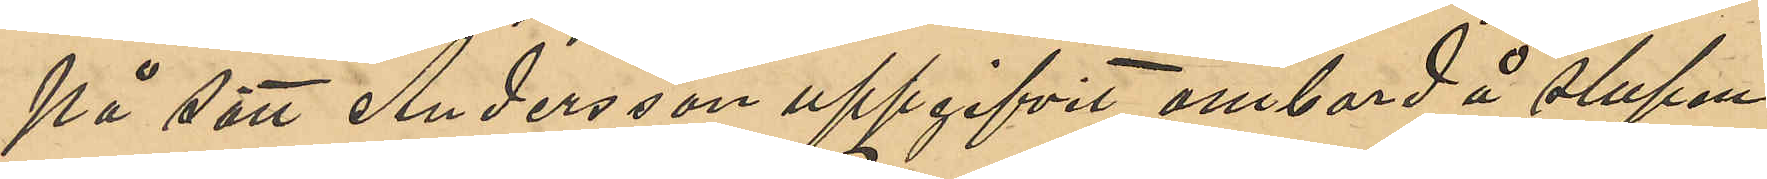på sätt Andersson uppgifvit ombord å slupen
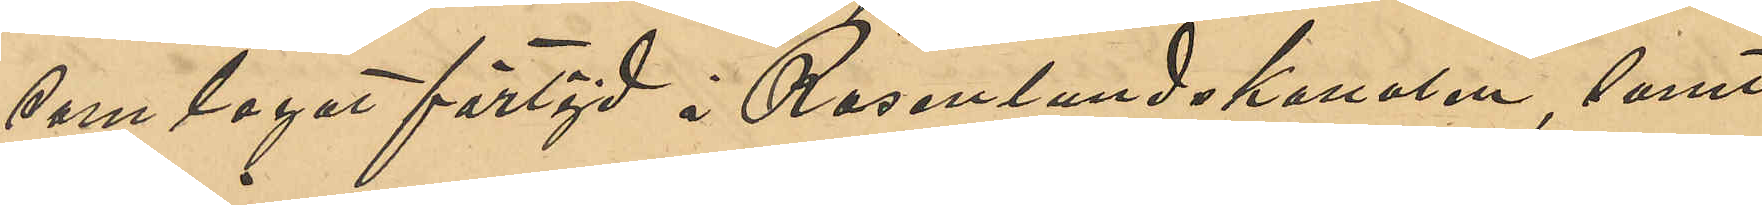som legat förtöjd i Rosenlundskanalen, samt
